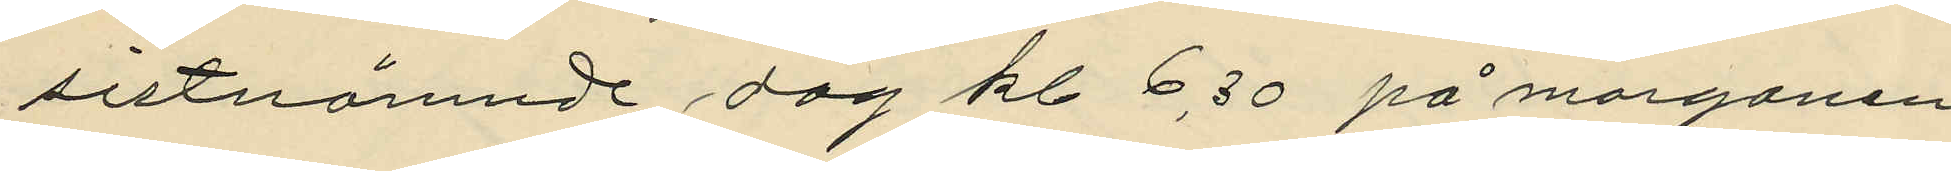sistnämnde dag kl. 6.30 på morgonen
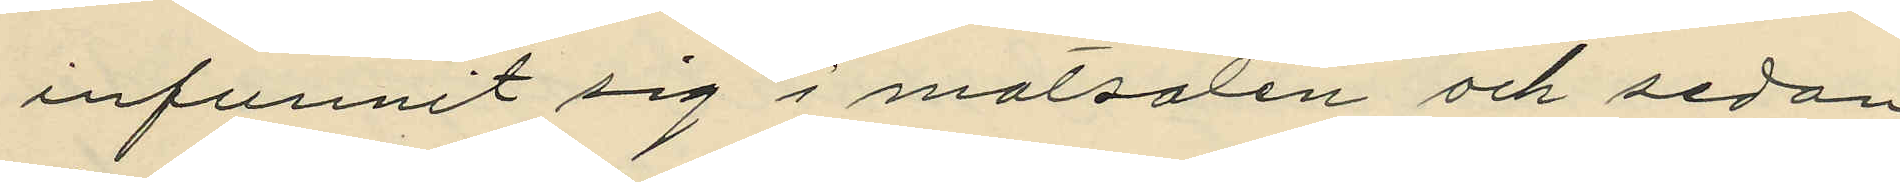infunnit sig i matsalen och sedan
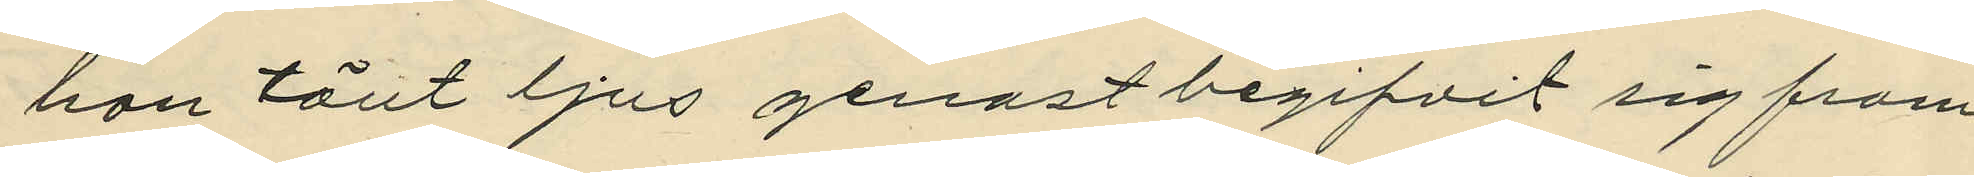han tänt ljus genast begifvit sig fram
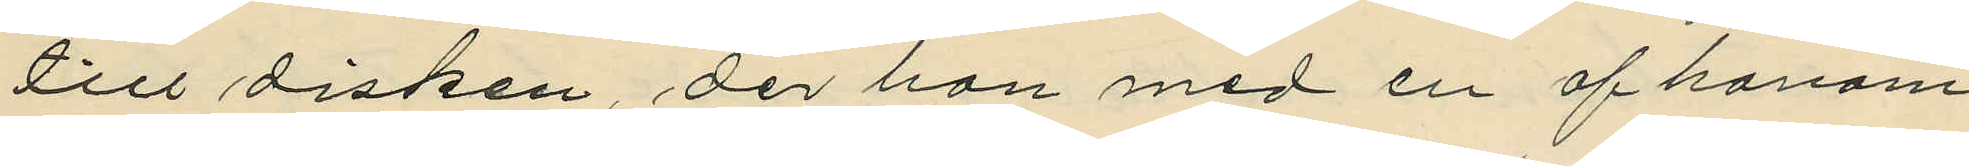till disken, der han med en af honom
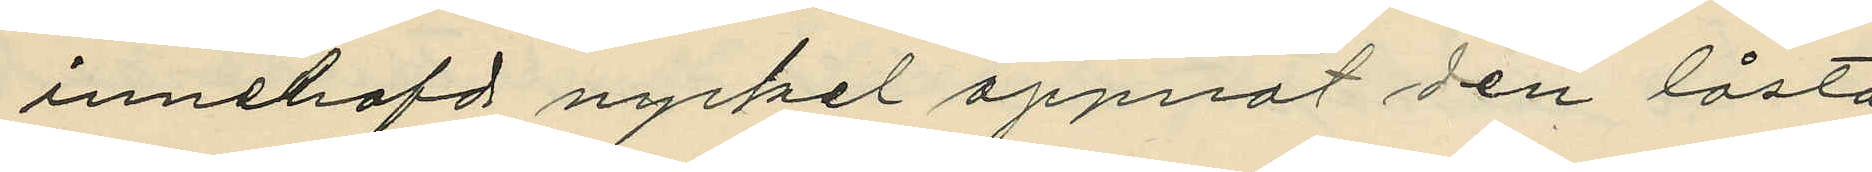innehafd nyckel öppnat den låsta
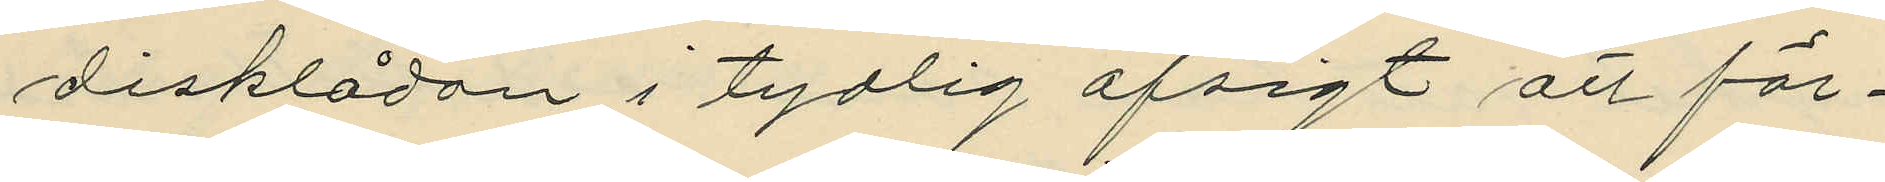disklådan i tydlig afsigt att för¬
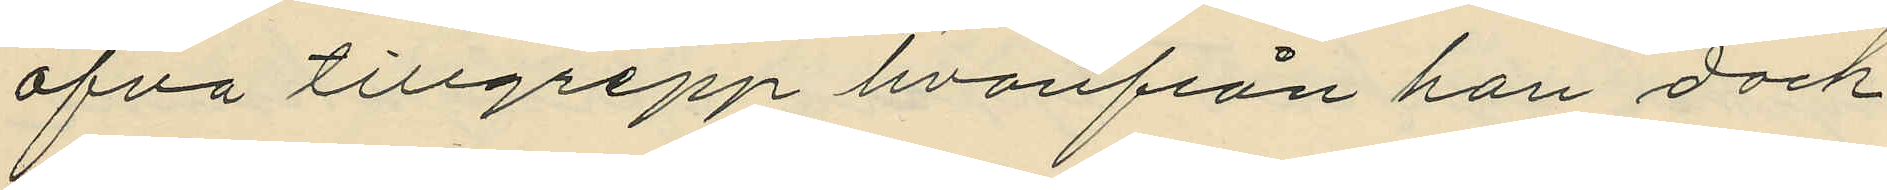öfva tillgrepp hvarifrån han dock
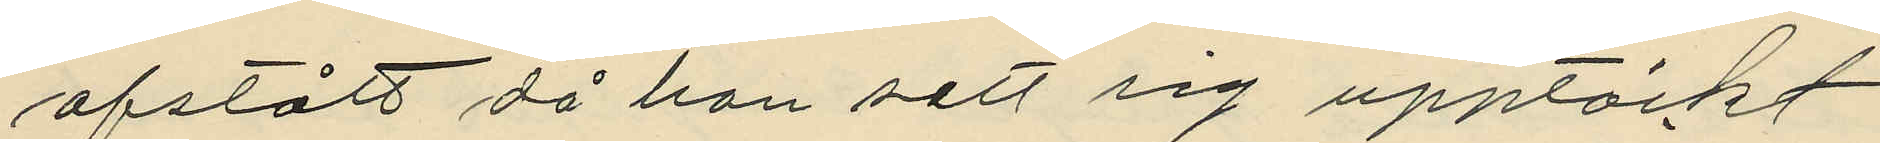afstått då han sett sig upptäckt
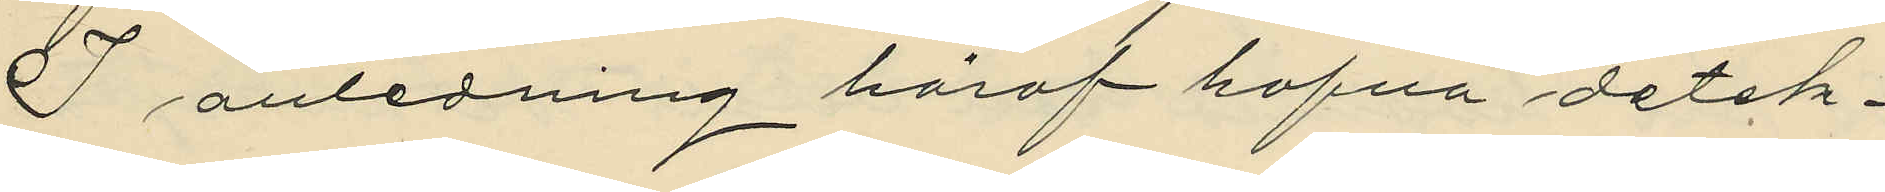I anledning häraf hafva detek¬
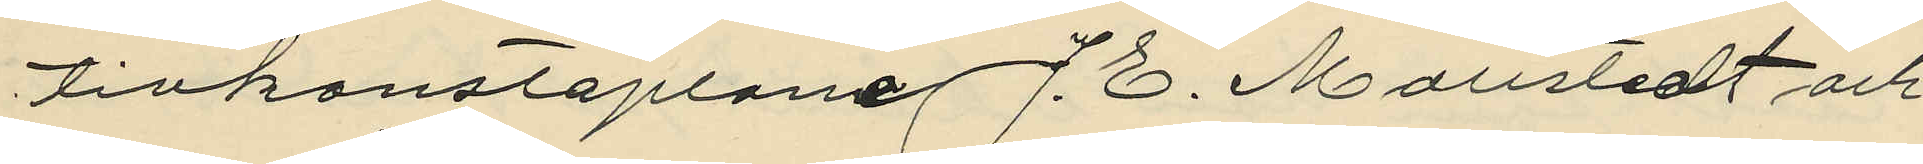tivkonstaplane J. E. Mollstedt och
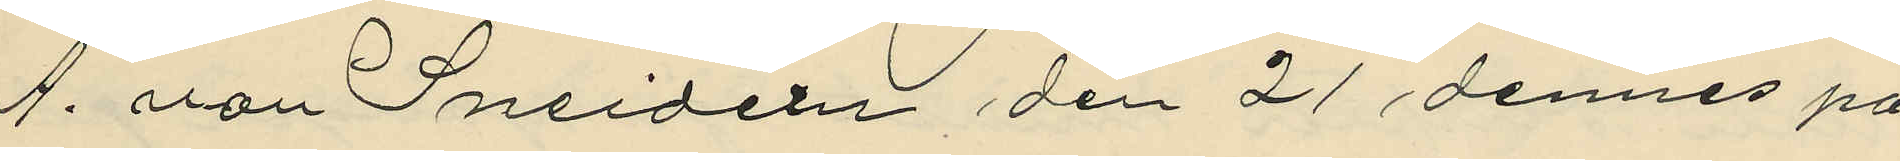A. von Sneidern den 21 dennes på
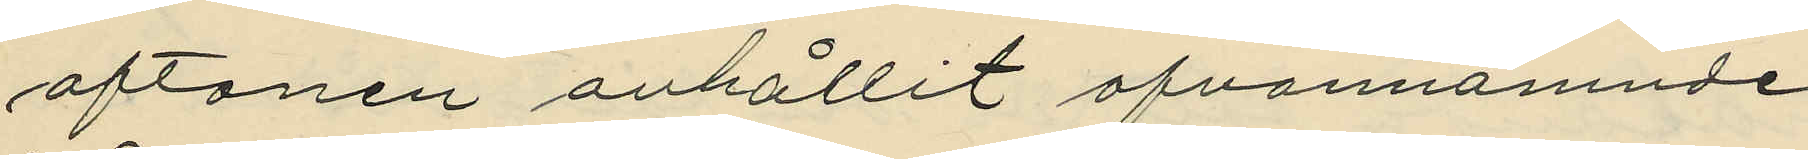aftonen anhållit ofvannämnde
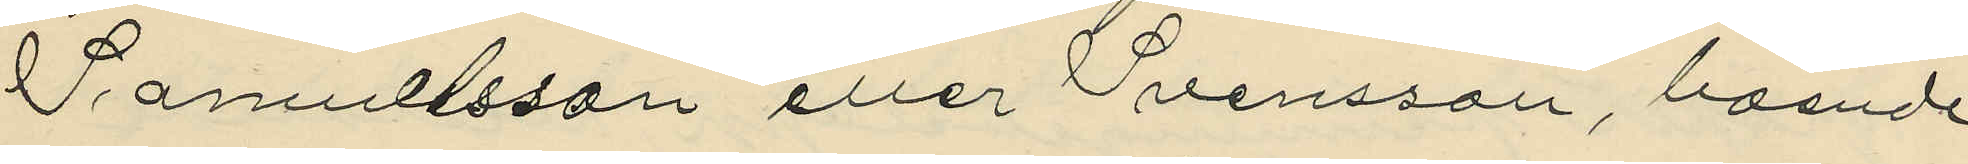Samuelsson eller Svensson, boende
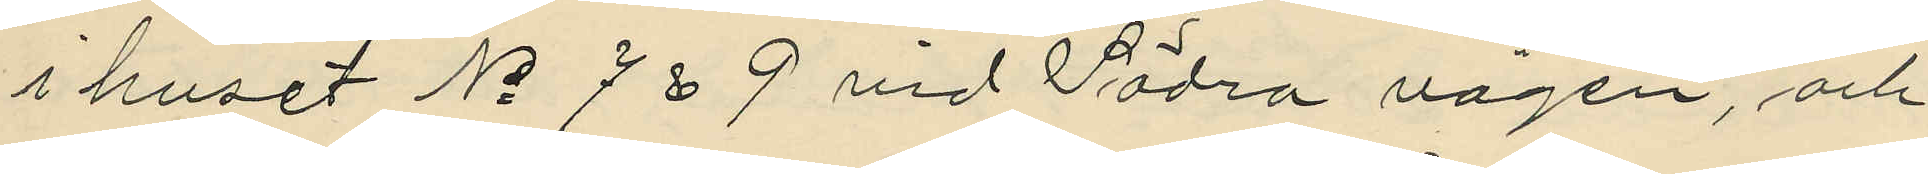i huset No 7 & 9 vid Södra vägen, och
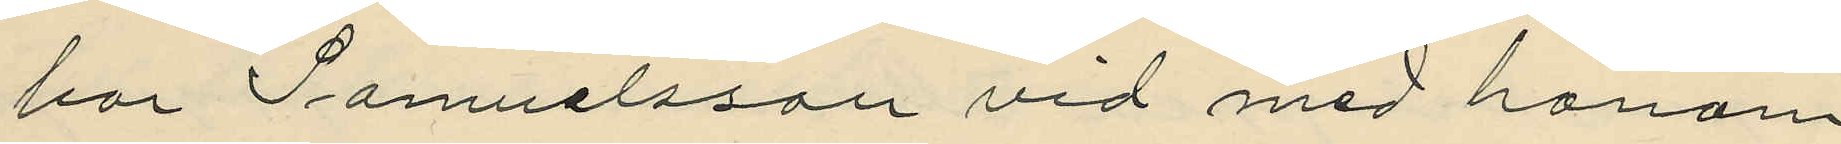har Samuelsson vid med honom
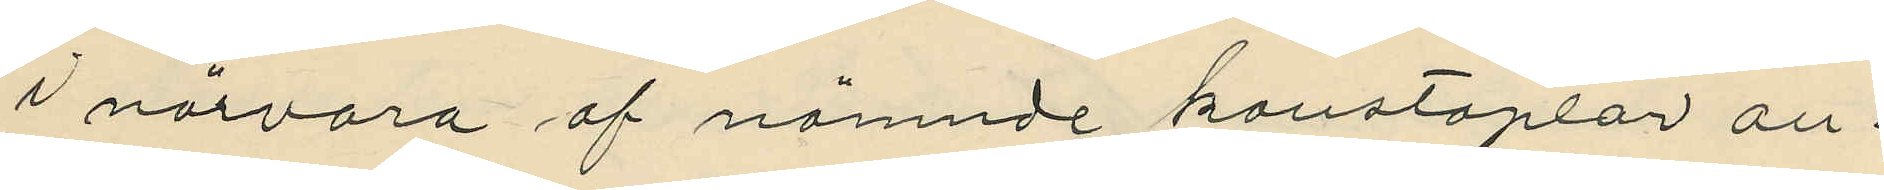i närvaro af nämnde konstaplar an¬
